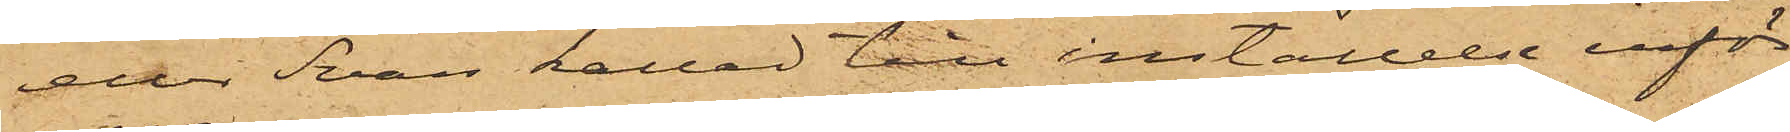eller Svan kallad till inställelse inför
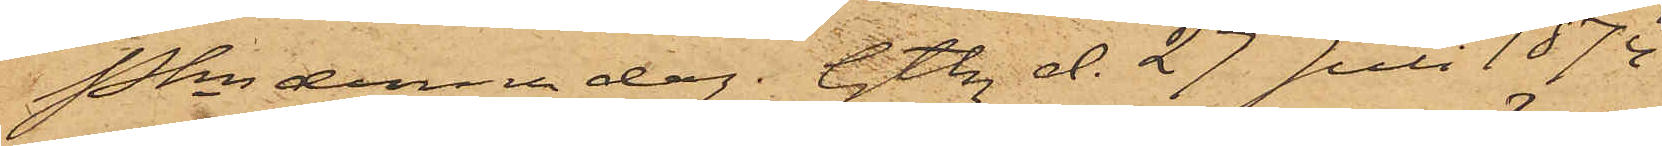Pkn denna dag. Gtbg d. 27 Juli 1874.
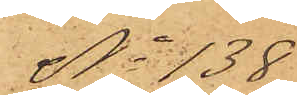No 138
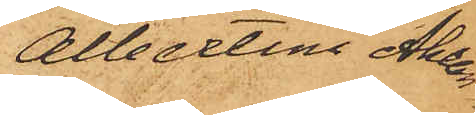Albertina Ahlan¬
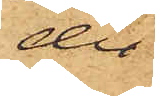der
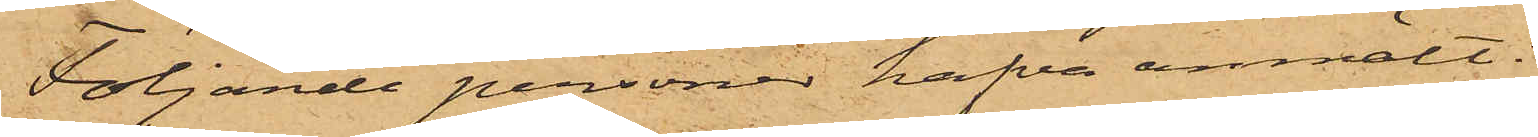Följande personer hafva anmält:
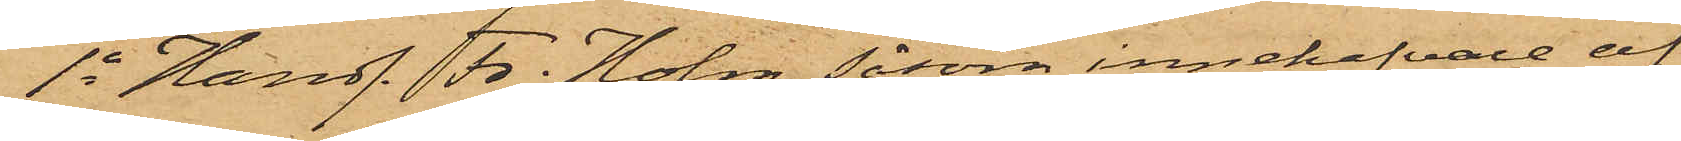1o Handl. Fr. Holm, såsom innehafvare av
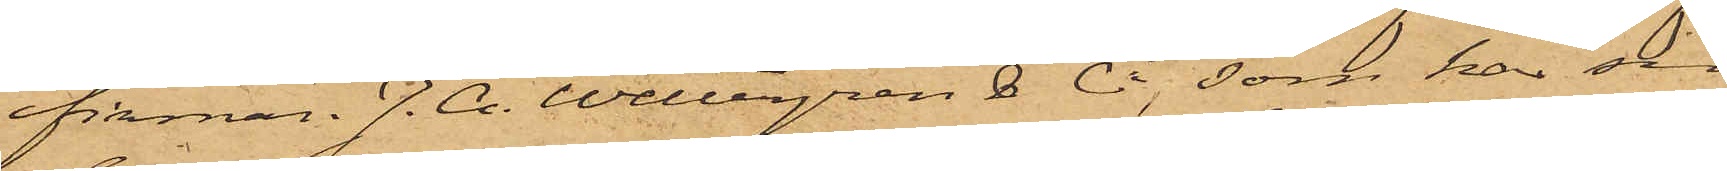firma. J. A. Wettergren & Co, som har sin
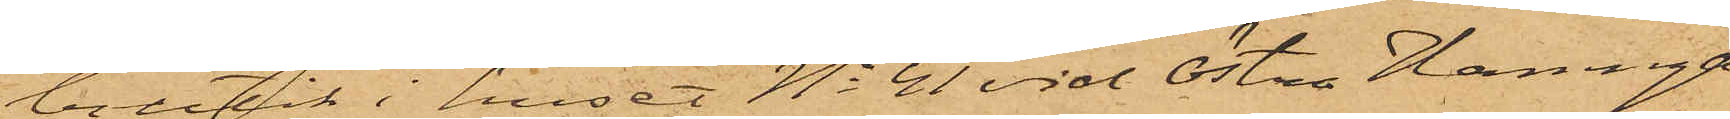butik i huset No 41 vid Östra Hamnga¬
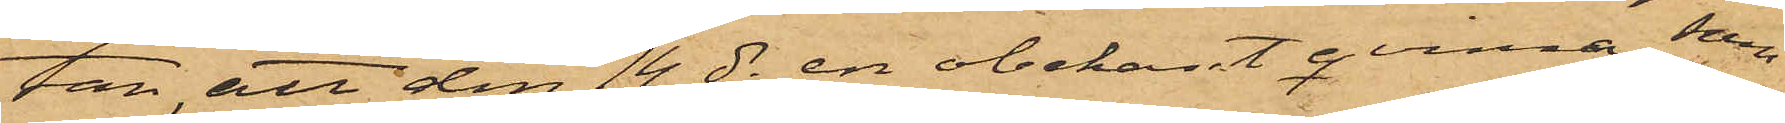tan, att den 14 ds en obekant qvinna, som
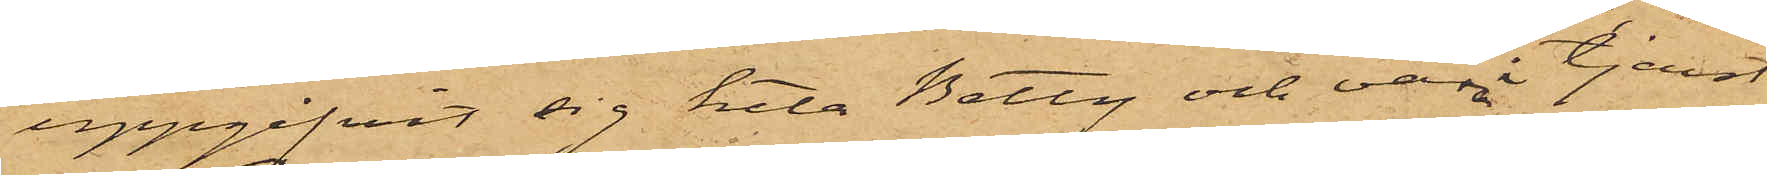uppgifvit sig heta Betty och vara i tjenst
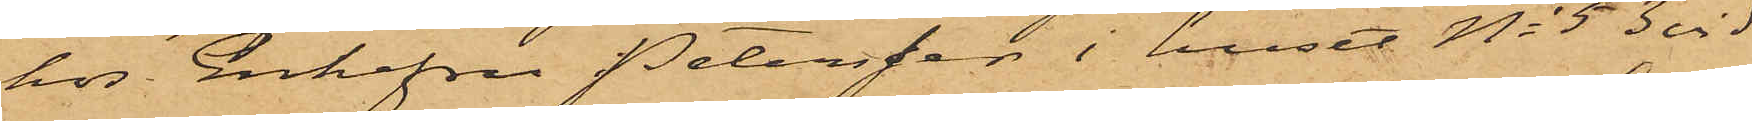hos Enkefru Petersson i huset No 53 vid
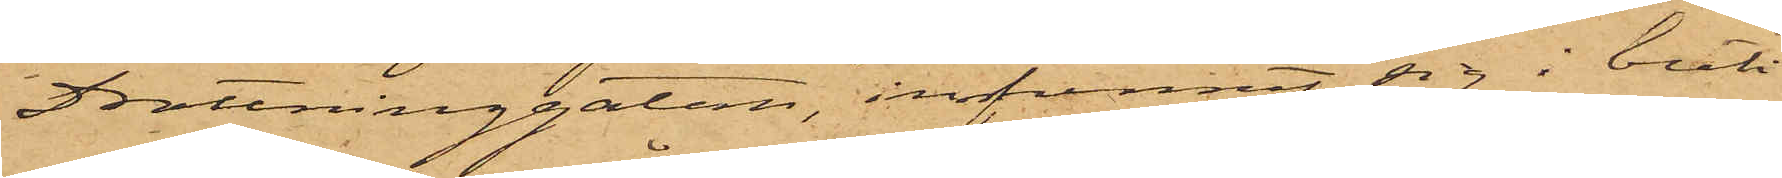Drottninggatan, infunnit sig i buti¬
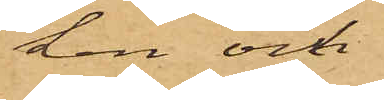ken och
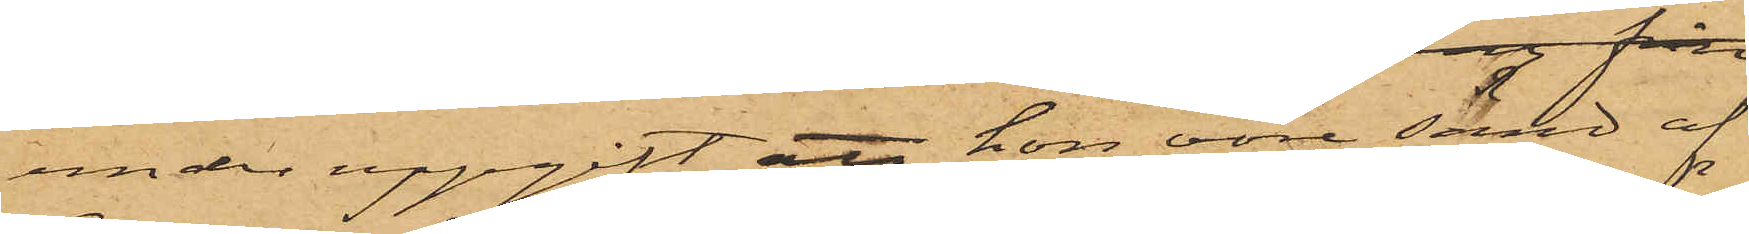under uppgift att hon vore sänd af
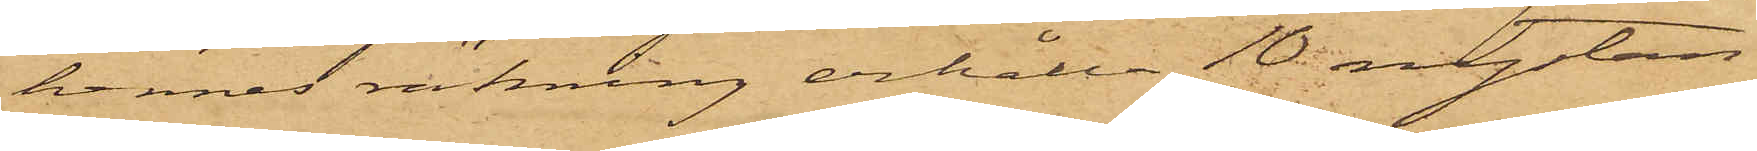hennes räkning erhålla 10 nystan
